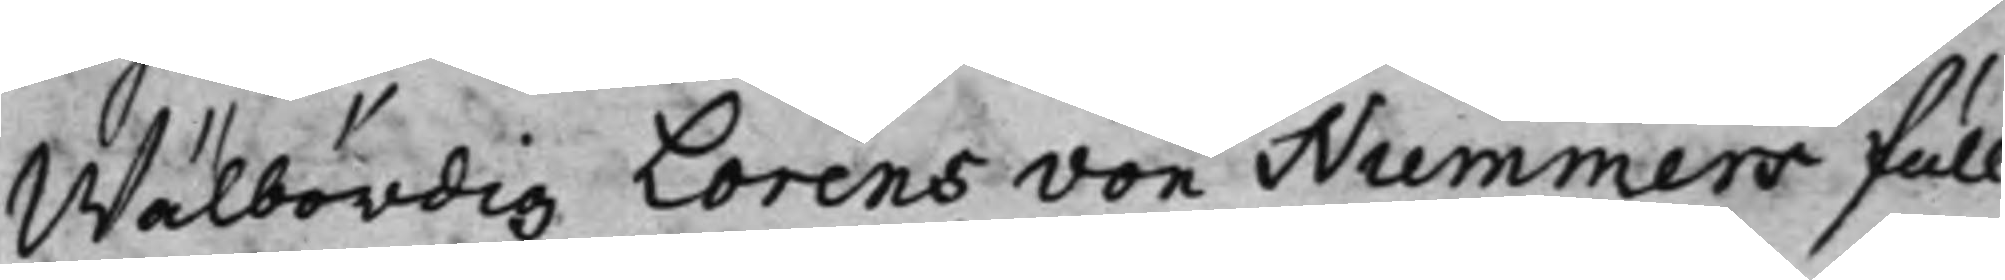Wälbördig Lorens von Nummers full¬
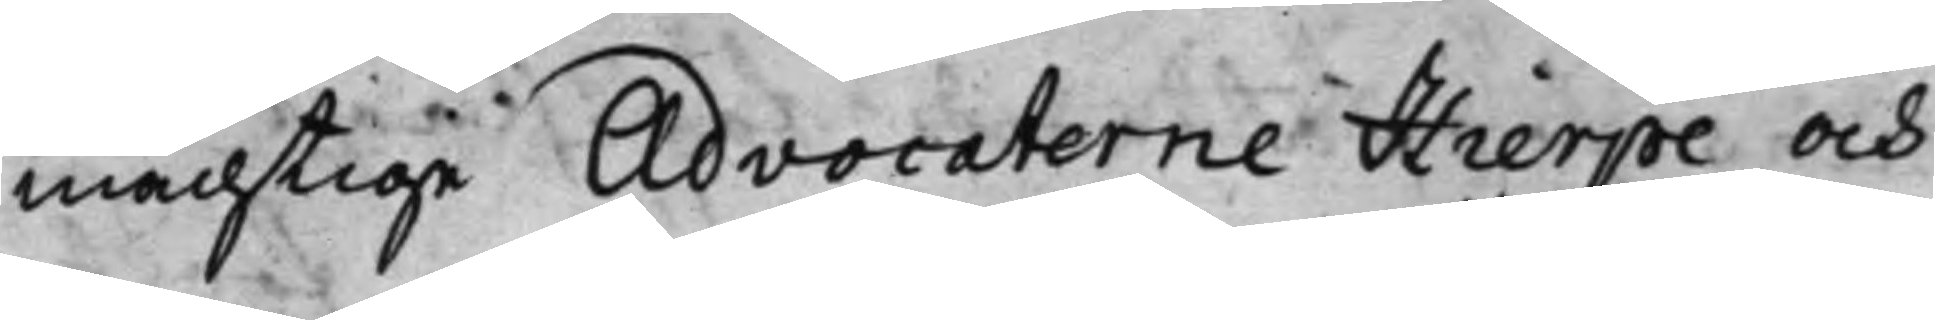mächtige Advocaterne Hierpe och
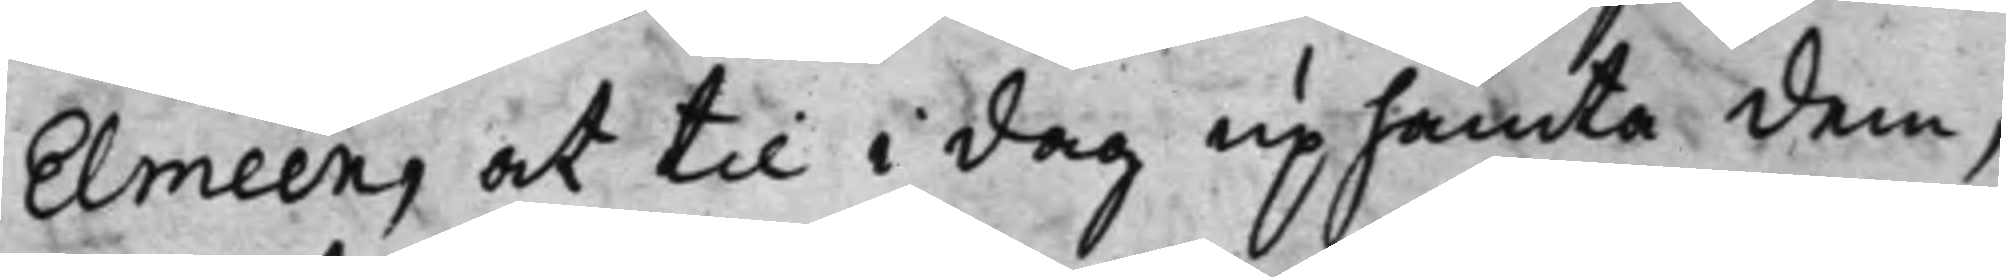Elmeen, at til i dag uphämta dem,
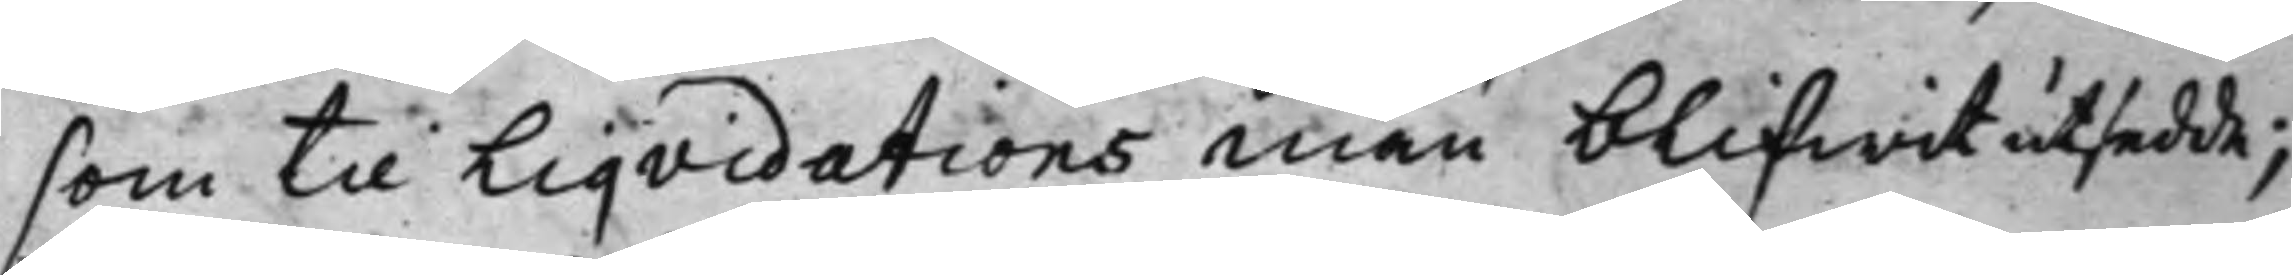som til Liqvidations män blifwit utsedde;
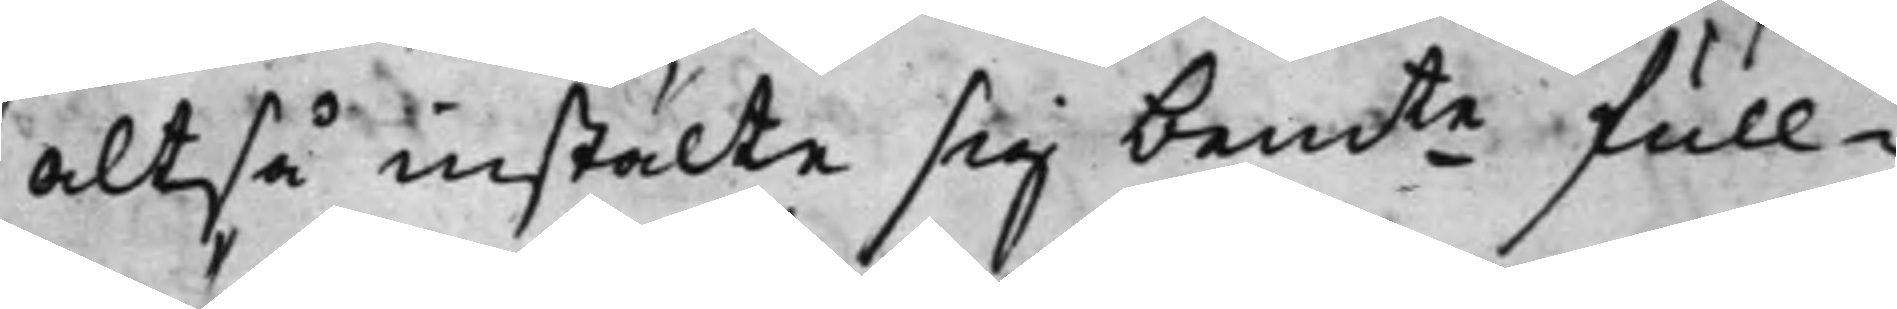altså instälte sig bemte full¬
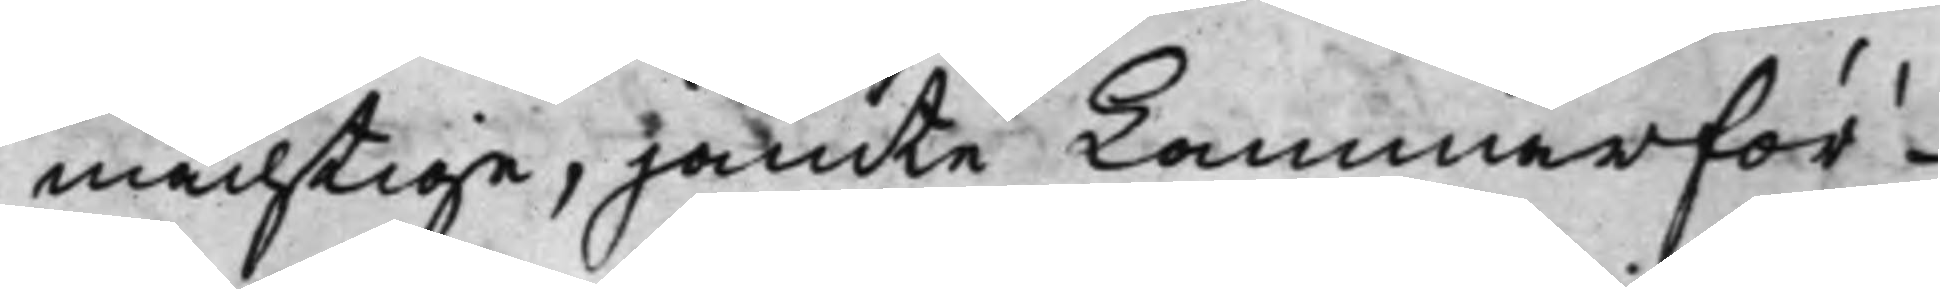mächtige, jämte Kammarför¬
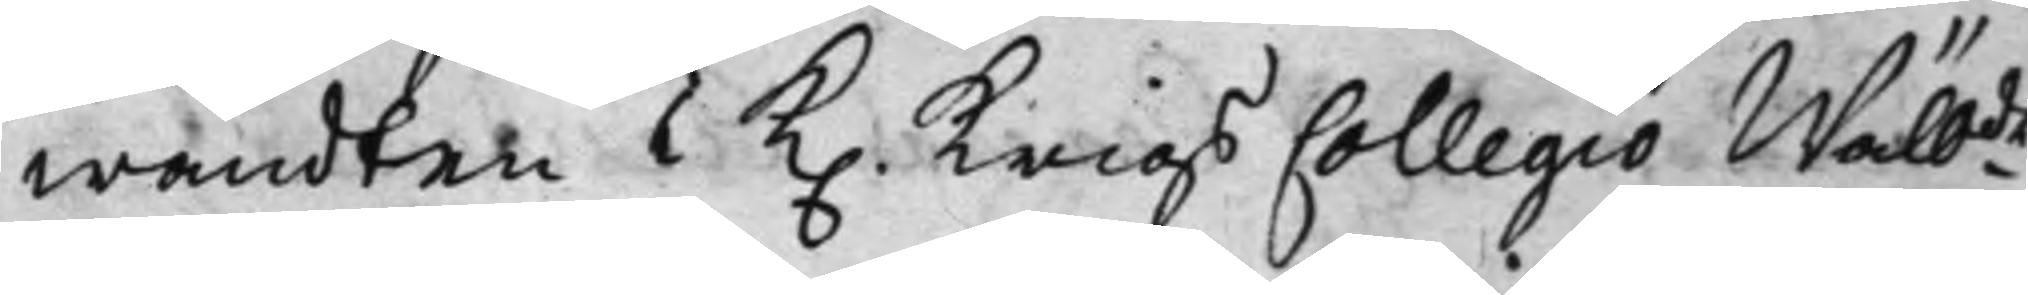wandten i K. Krigs Collegio Wälbde
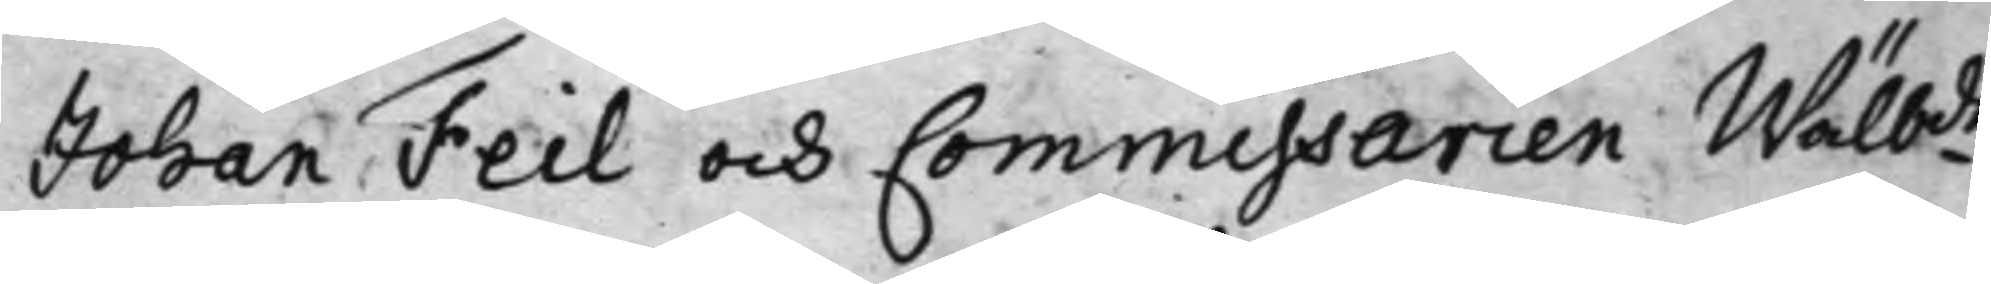Johan Feil och Commissarien Wälbde
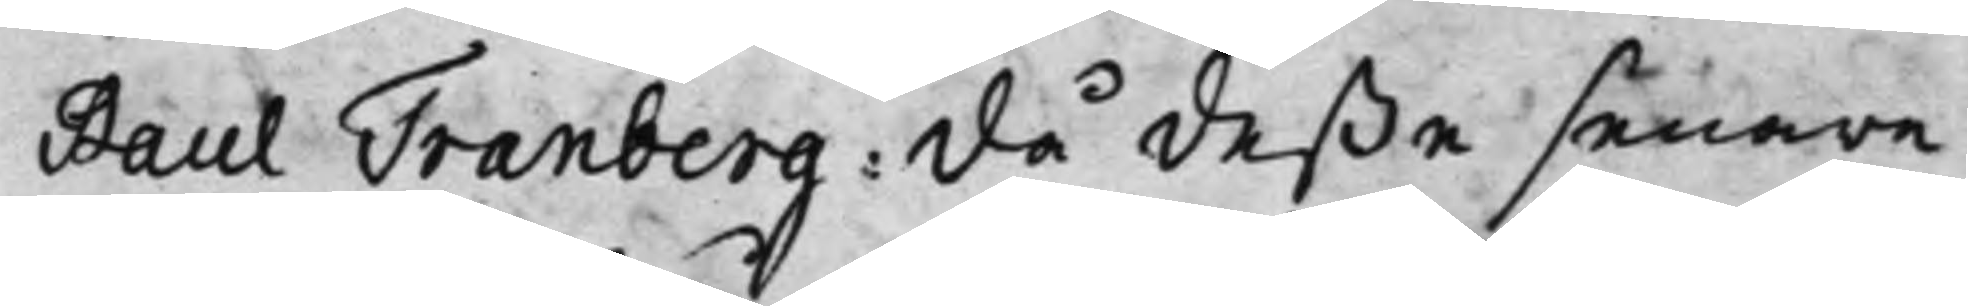Paul Tranberg: då deße senare
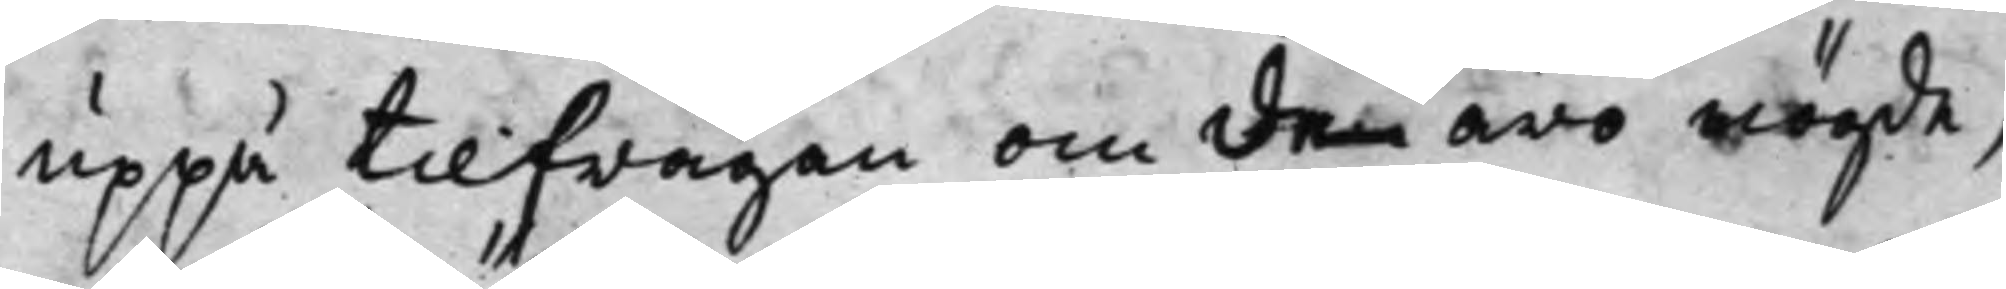uppå tilfrågan om dem äro nögde,
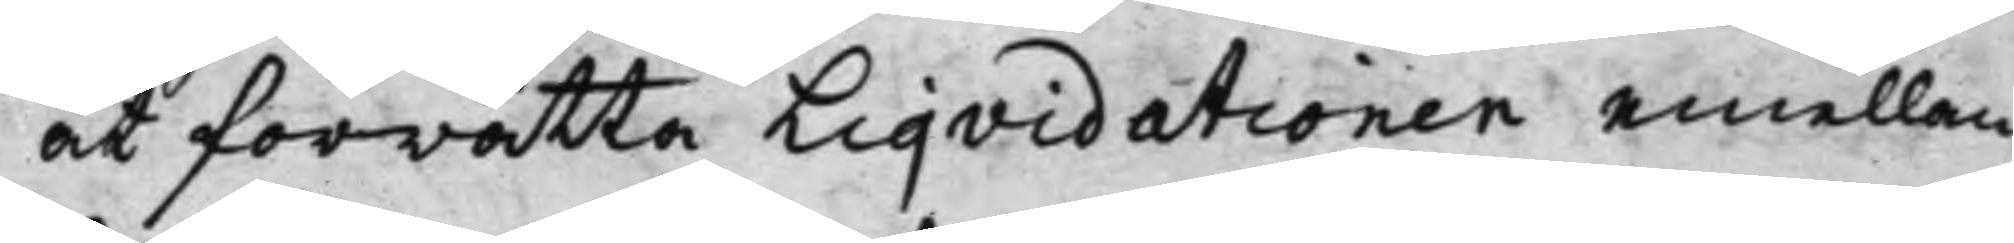at förrätta Liqvidationen emellan
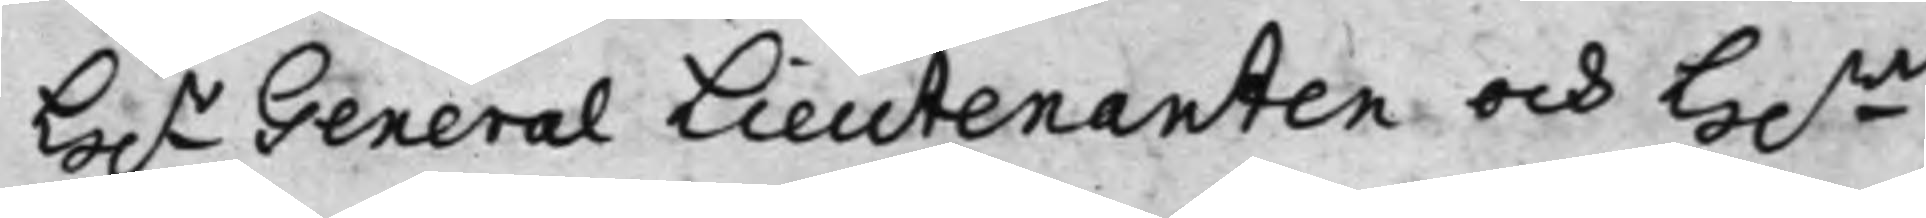H.r General Lieutenanten och H.r
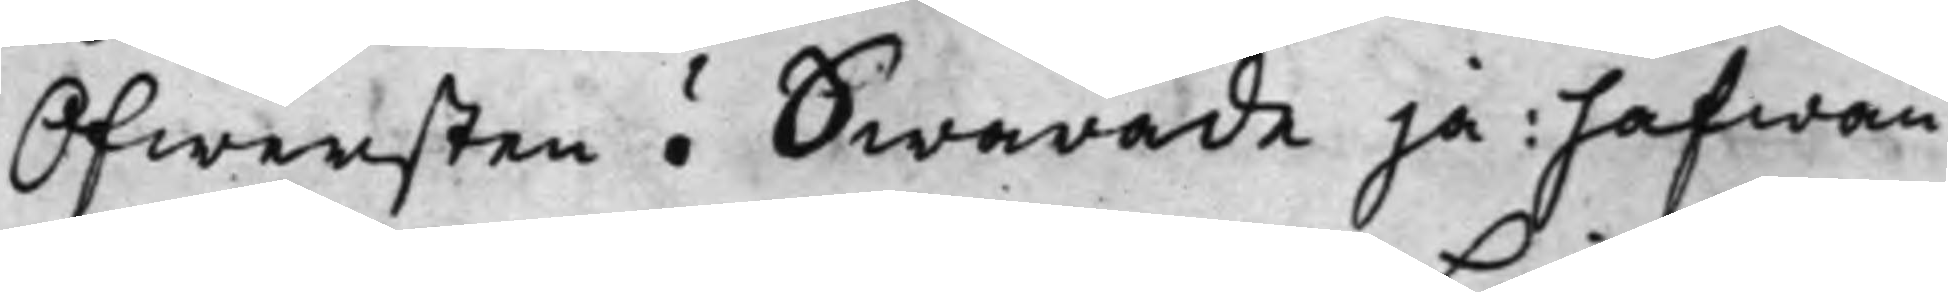Ofwersten? Swarade ja; hafwan¬
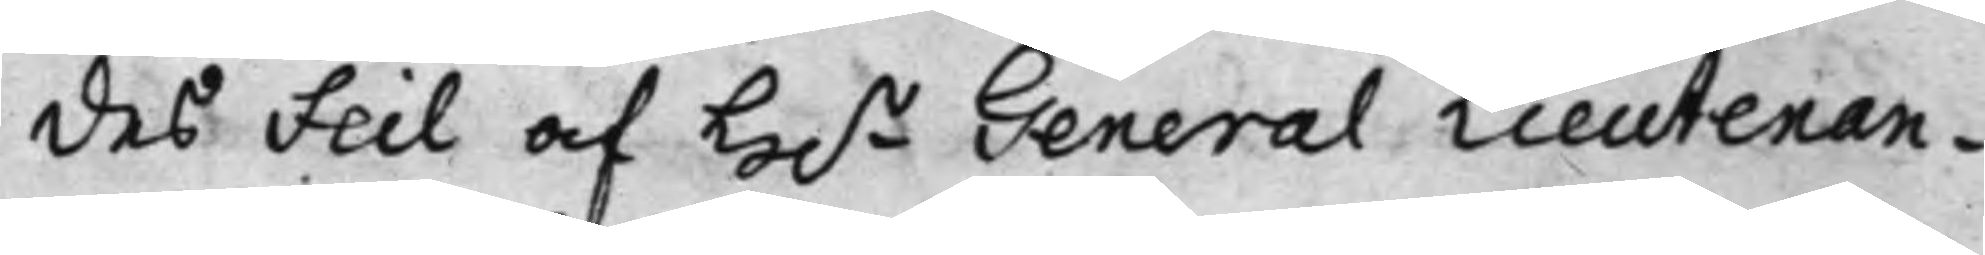des Feil af H.r General Lieutenan¬
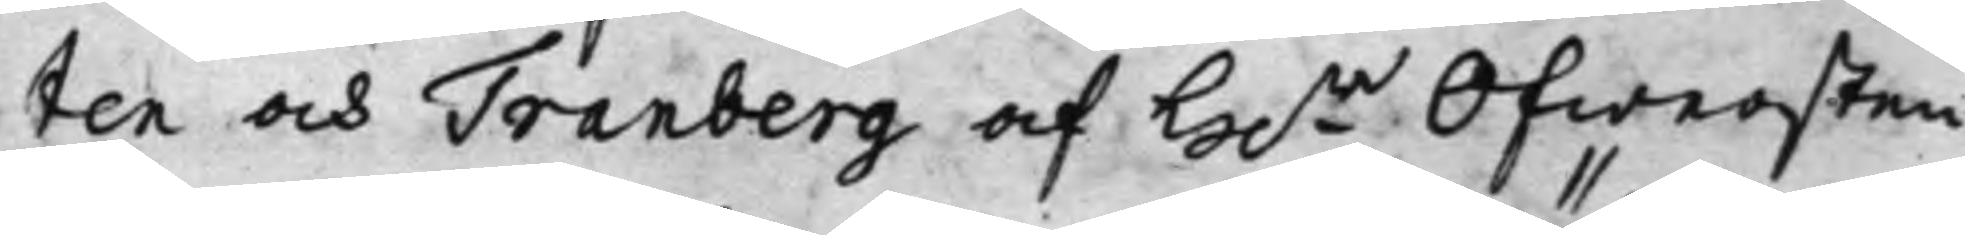ten och Tranberg af H.r Ofwersten
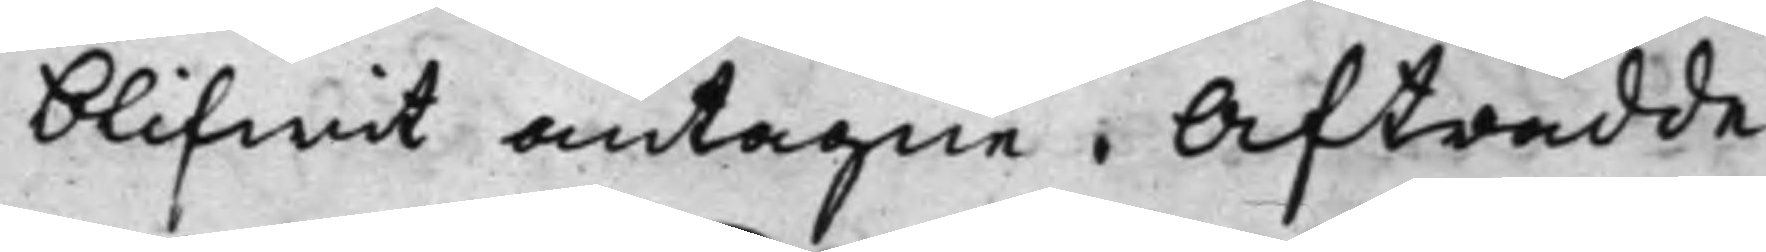blifwit antagne. Afträdde.
